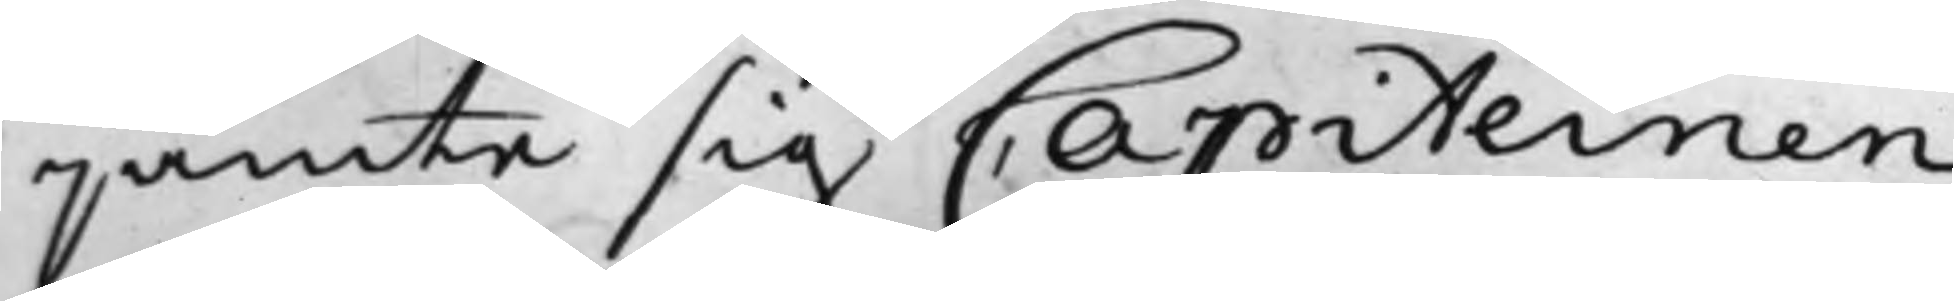jämte sig Capiteinen
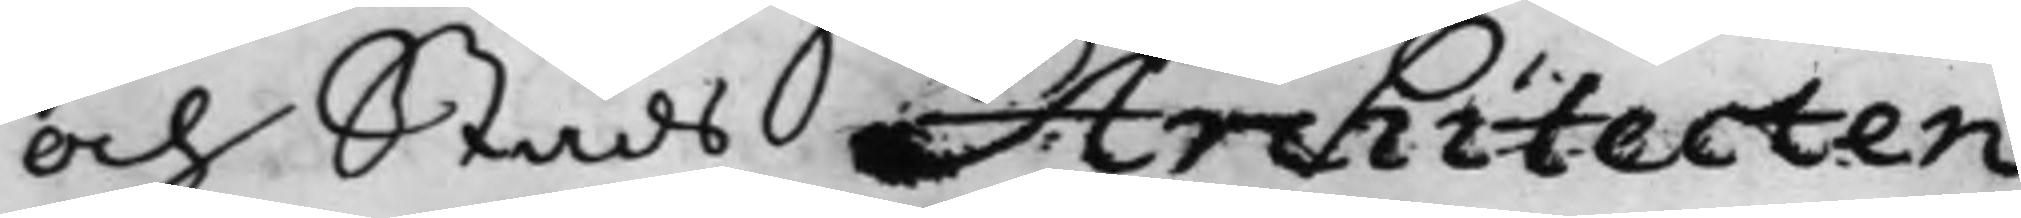och Stads Architecten
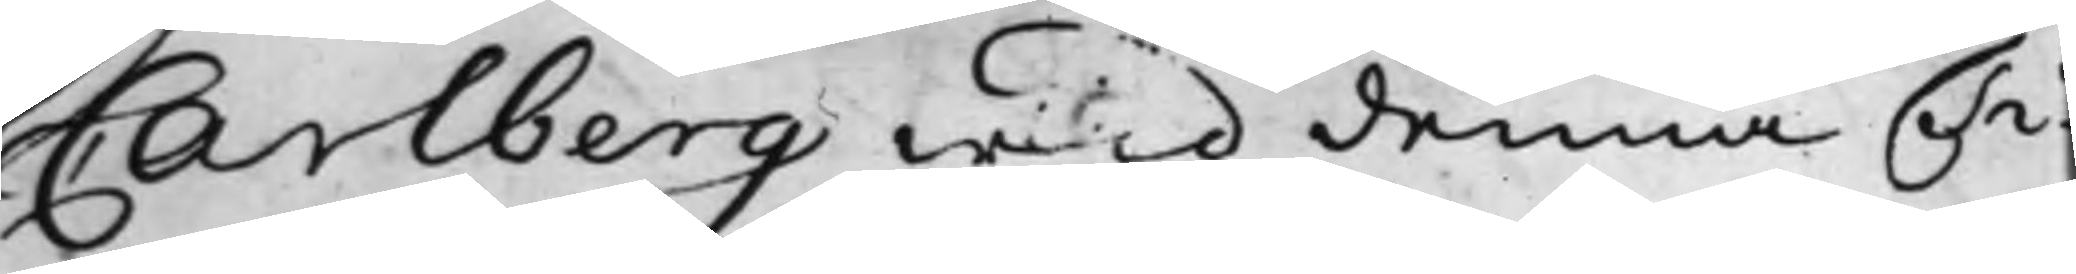Carlberg wid denna Ti¬
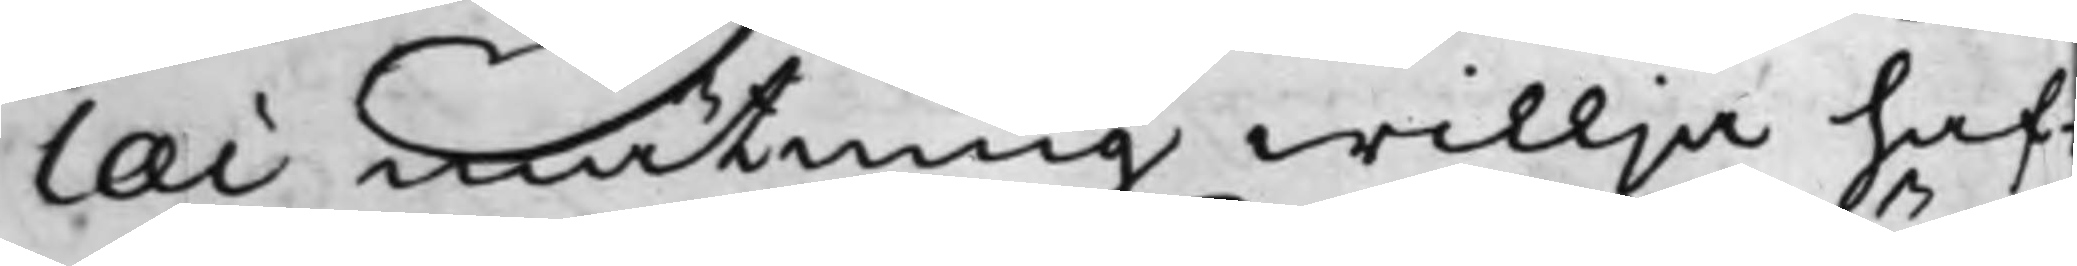lai mätning willja haf¬
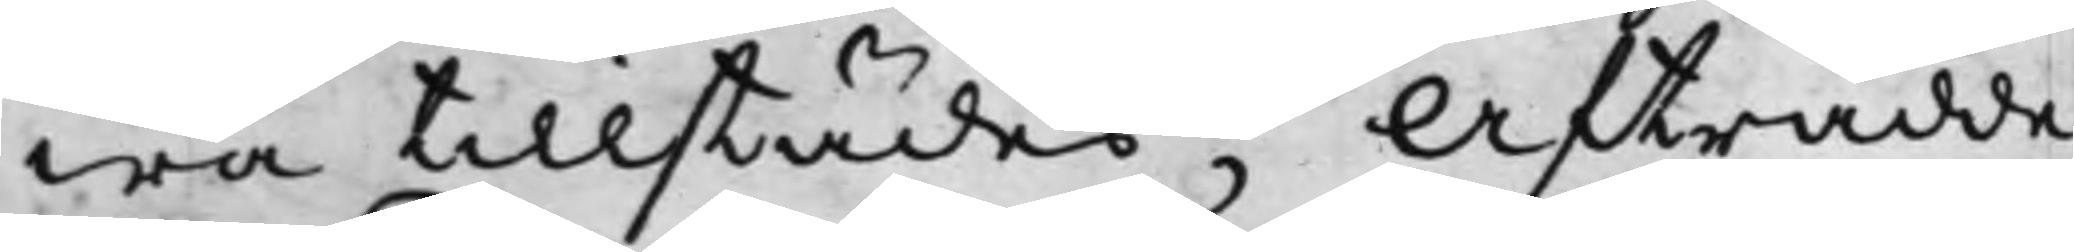wa tillstädes; Affträdde
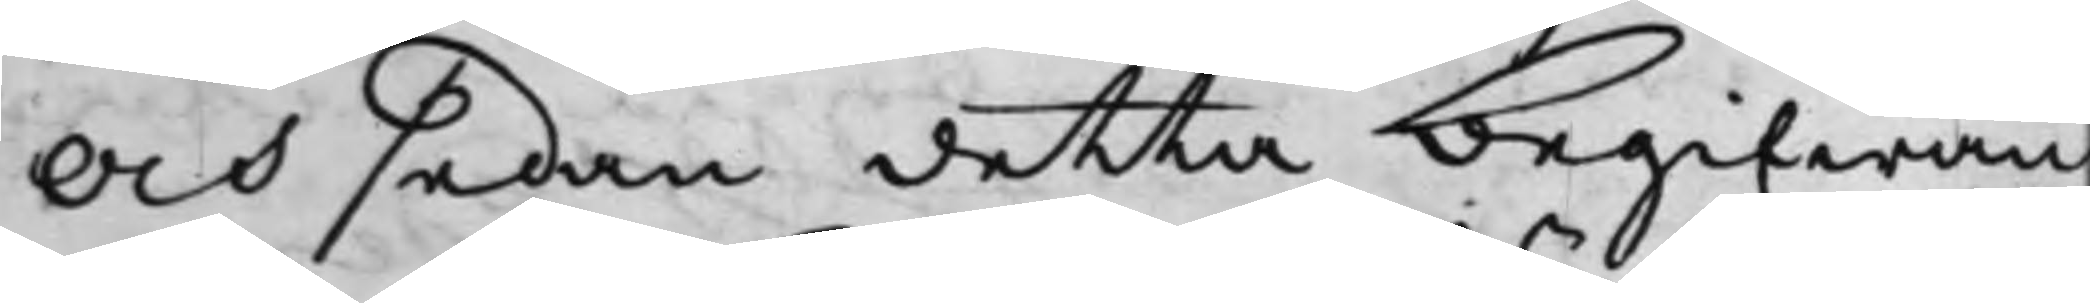Och sedan detta begifwan¬
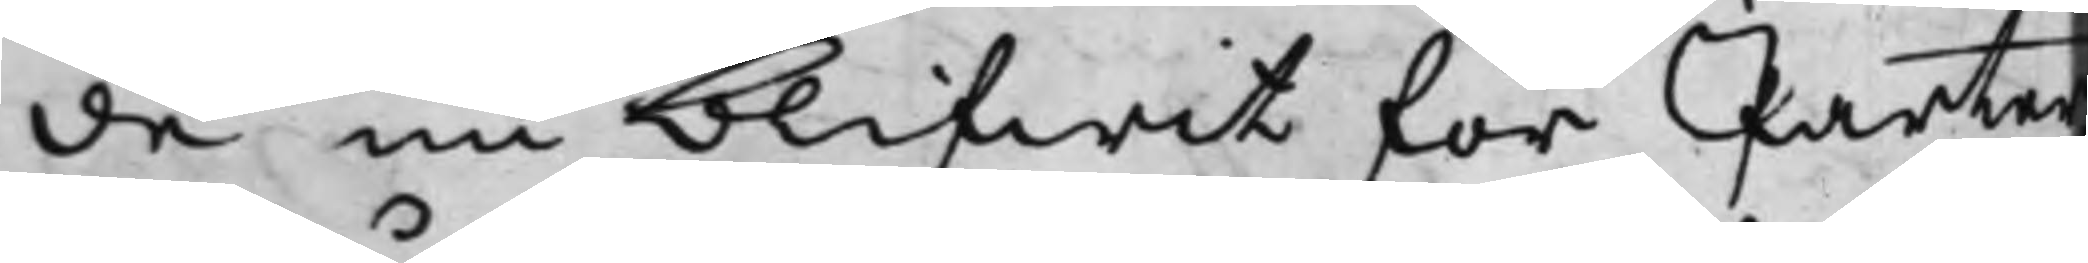de nu blifwit för Parter¬
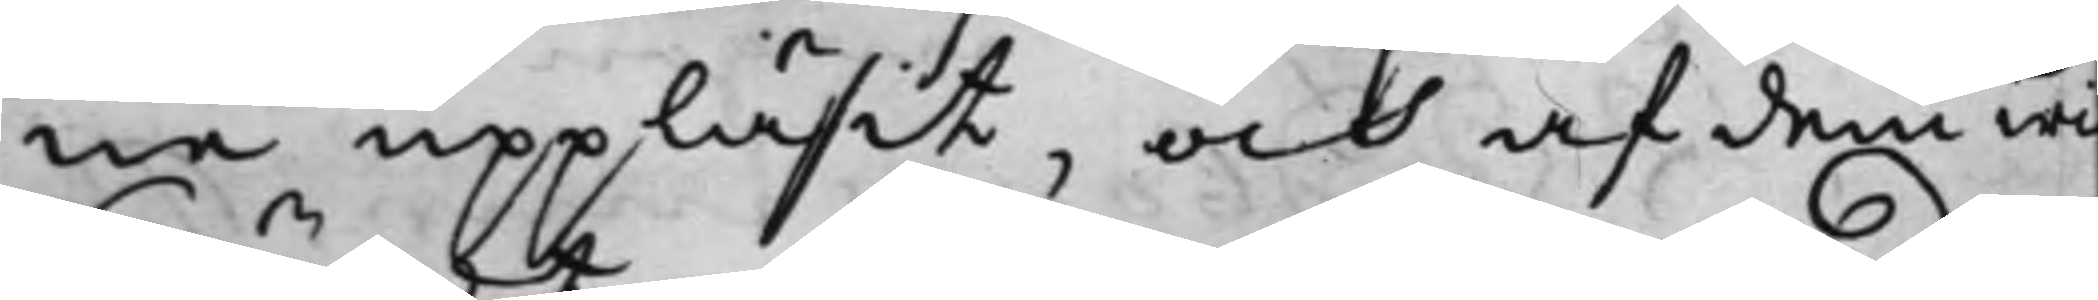ne uppläsit, och af dem wid¬
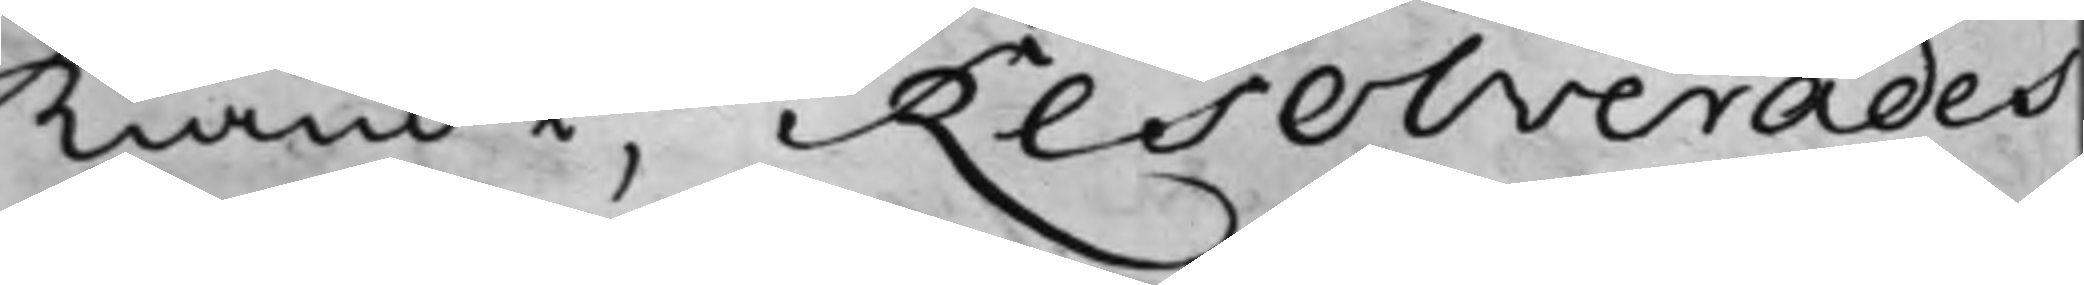kiändt, Resolverades
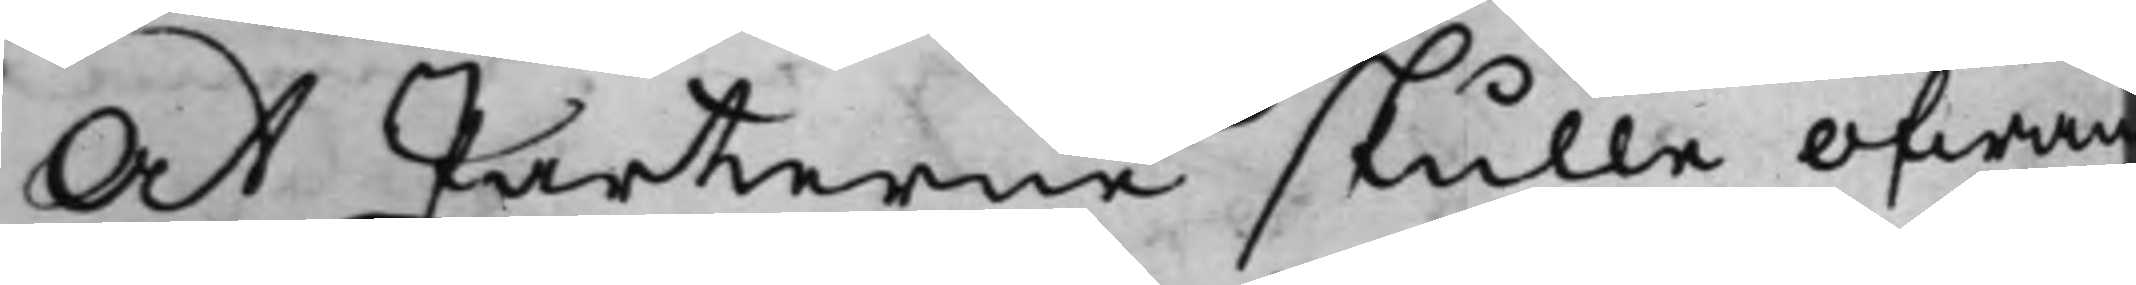At Parterne skulle ofwan
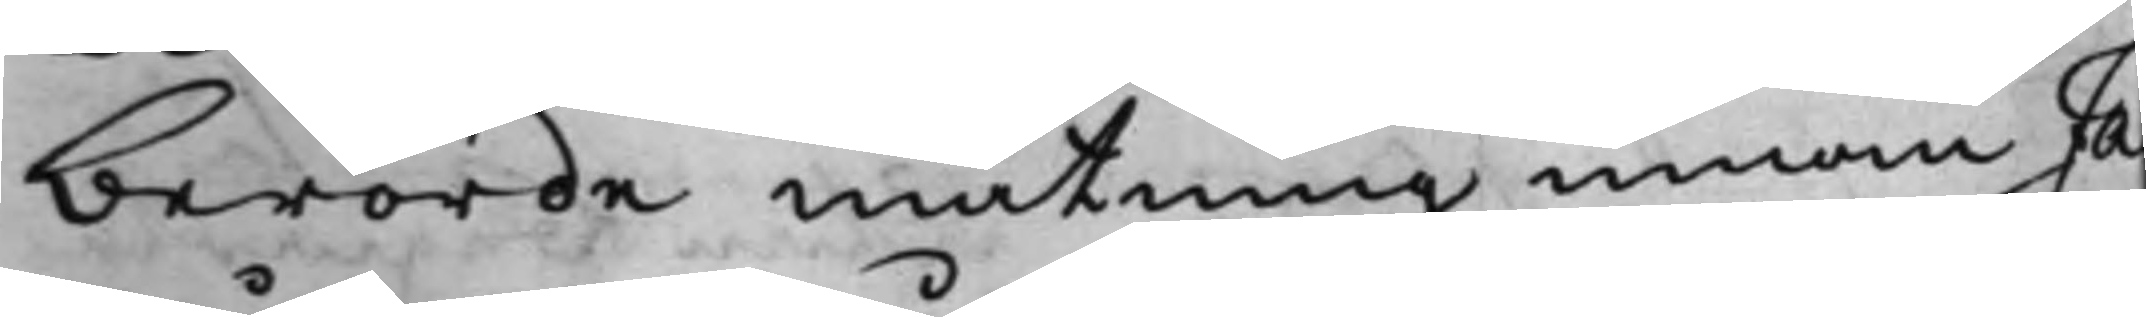berörde mätning innan Ja¬
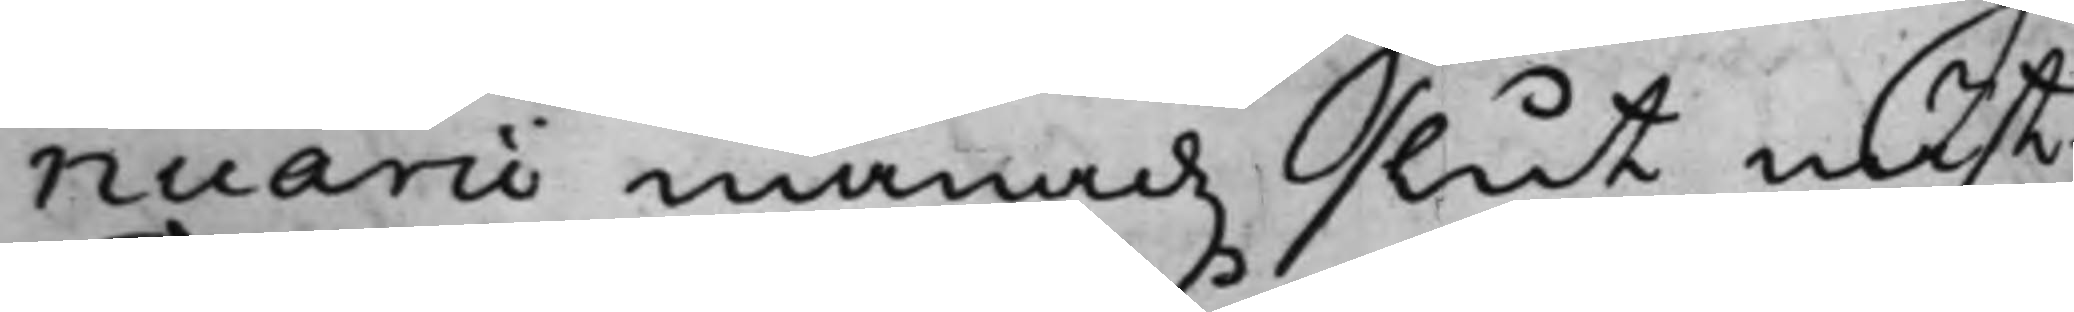nuarii månadz slut näst¬
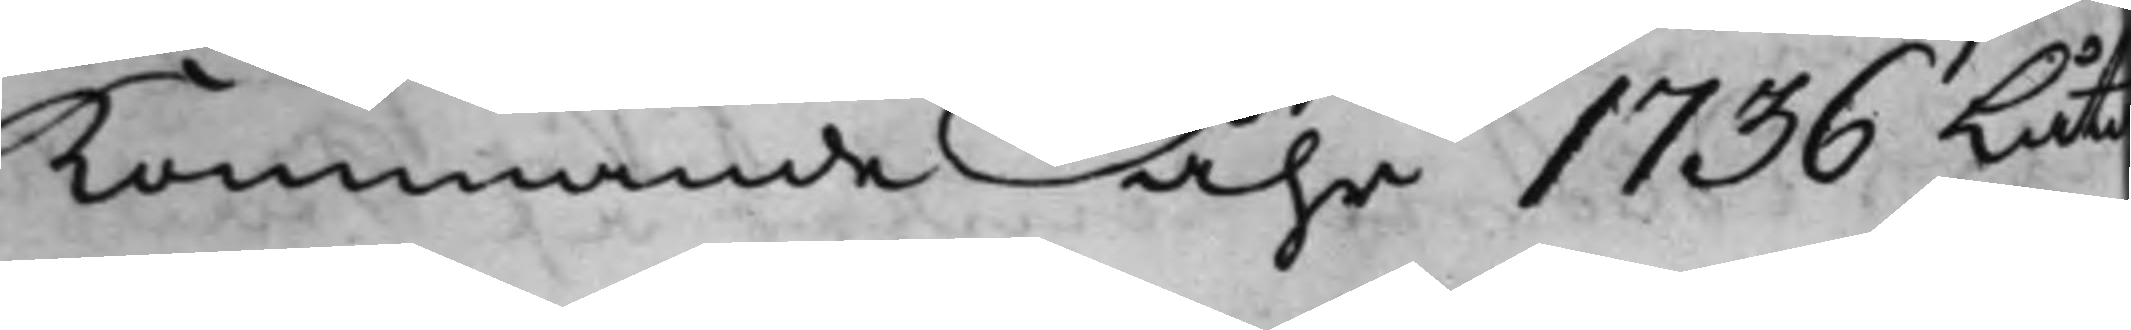Kommande åhr 1736 Låta
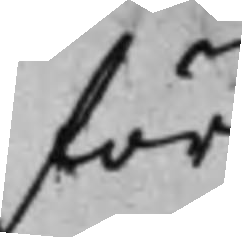för
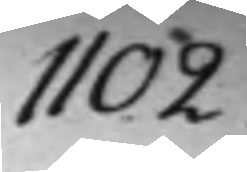1102.
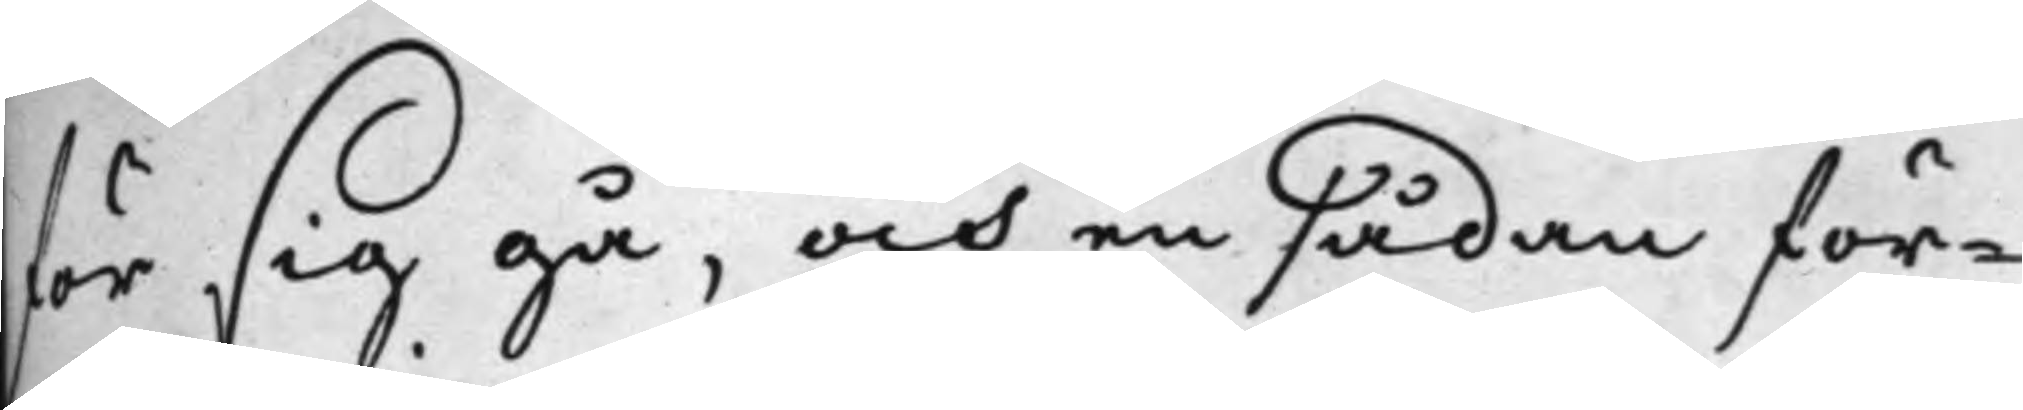för sig gå, och en sådan för¬
